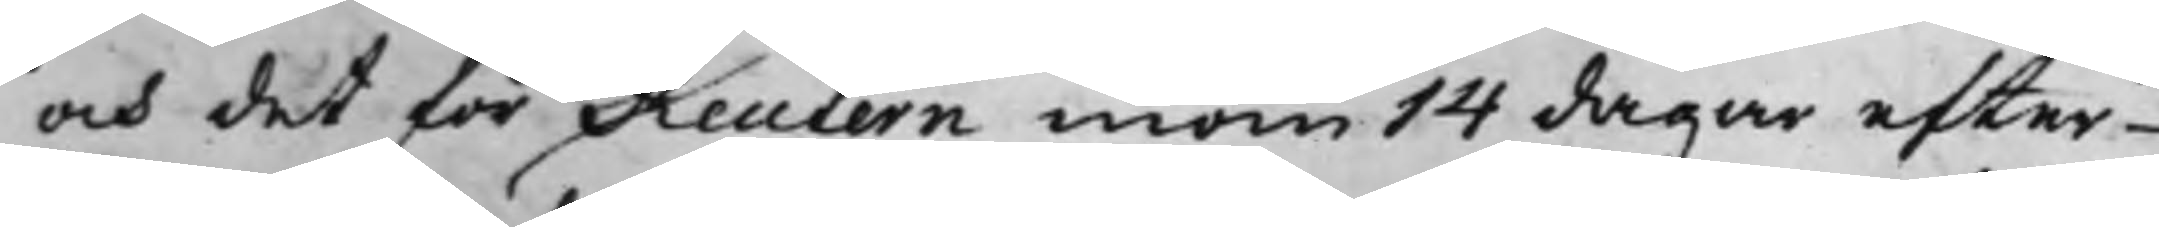och det för Reutern inom 14 dagar efter
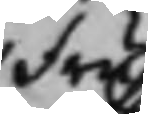fru
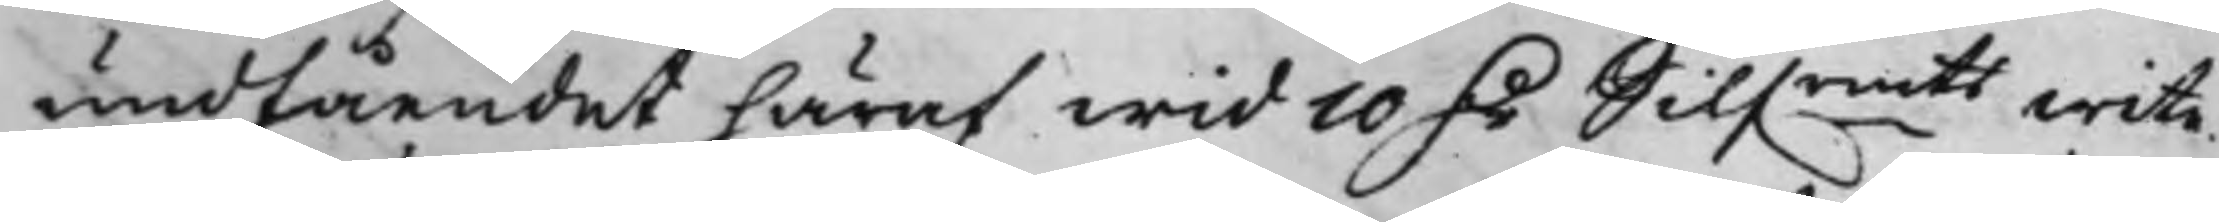undfåendet häraf wid 10 D.r Silf.rrmts wite.
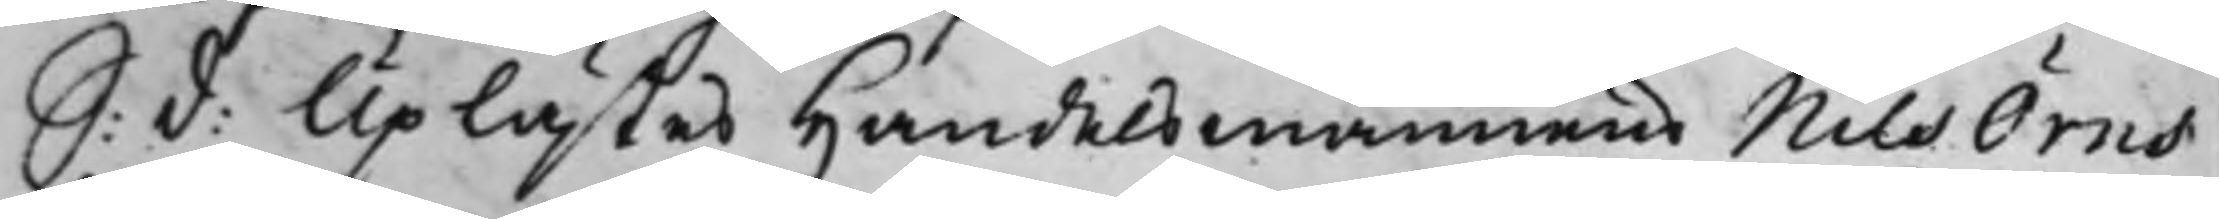S: d: Uplästes Handelsmannens Nils Örns
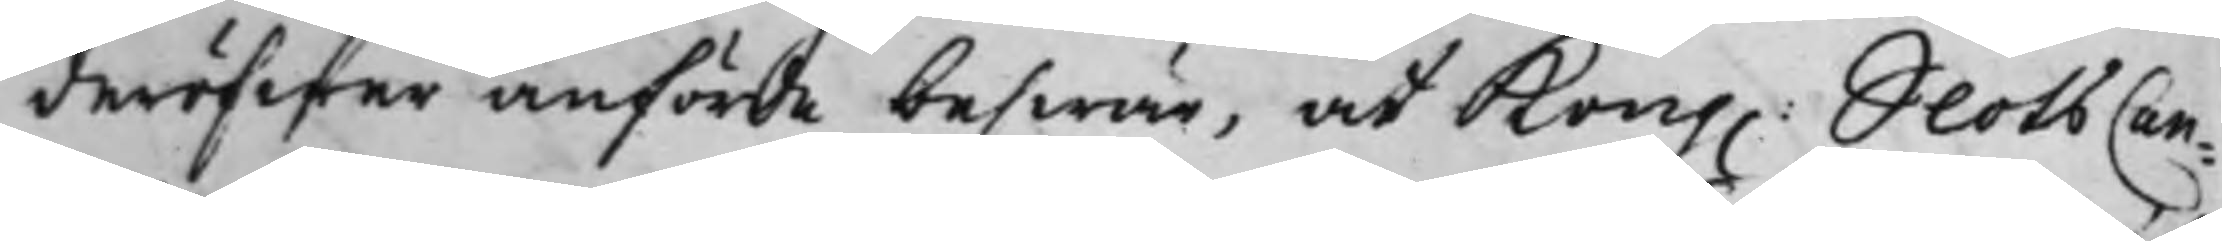deröfwer anförde beswär, at Kong. SlotsCan¬
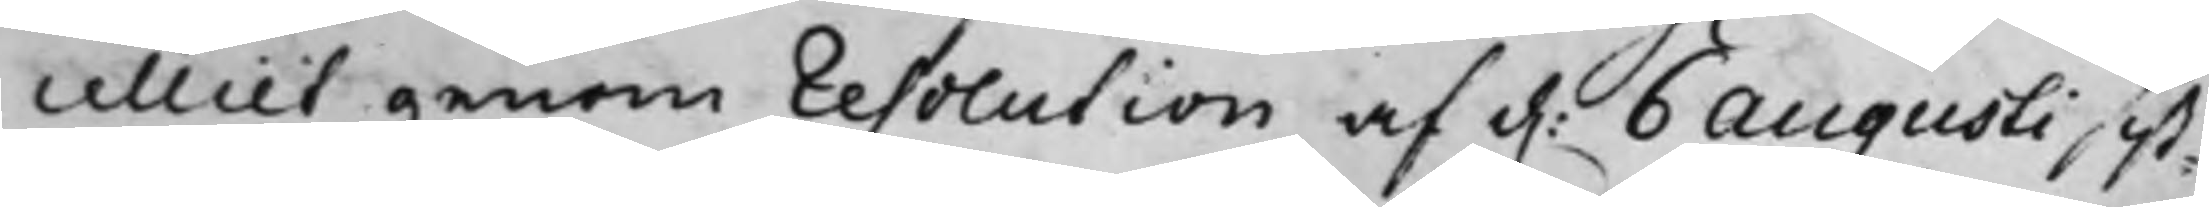celliet genom Resolution af d. 6 Augusti sist¬
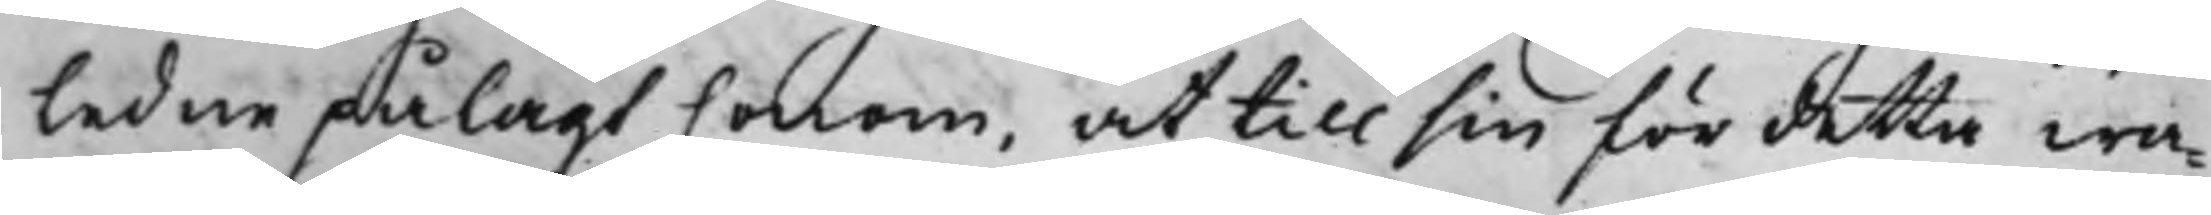ledne pålagt honom, at till sin för detta wa¬
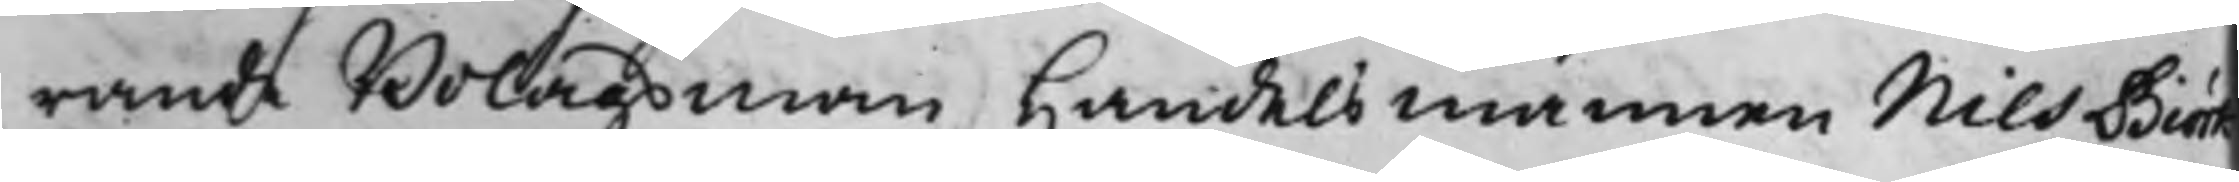rande Bolagsman Handelsmannen Nils Biörk
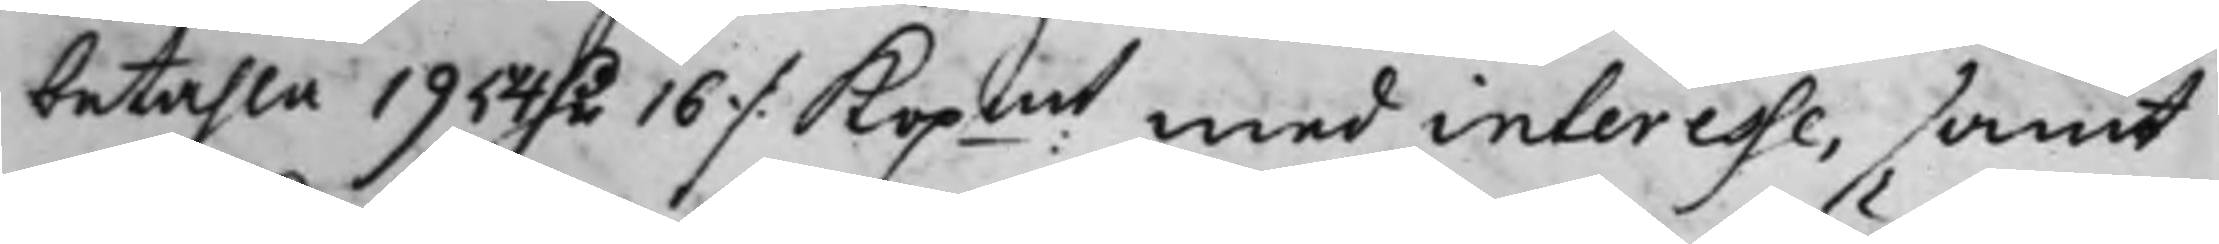betahla 1954 D.r 16 ./. Kopmt med interesse, samt
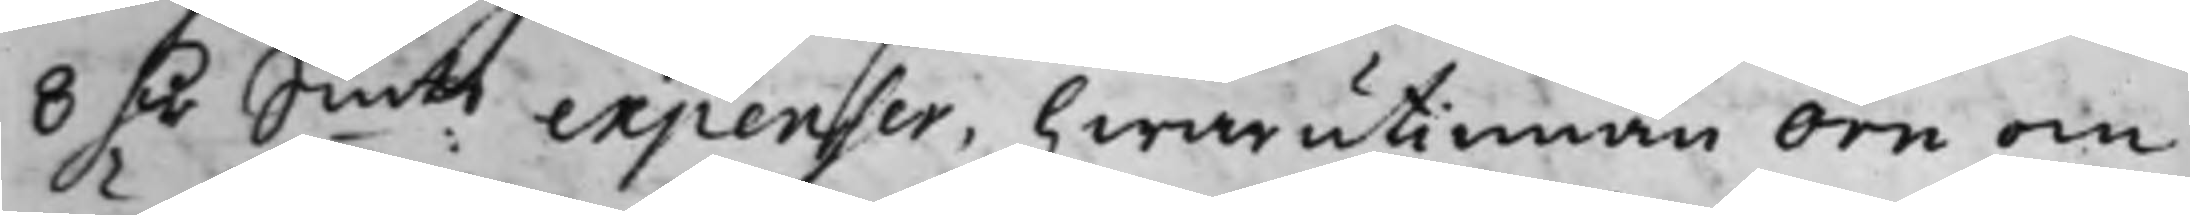8 D.r Smts expenser, hwarutinnan Örn om
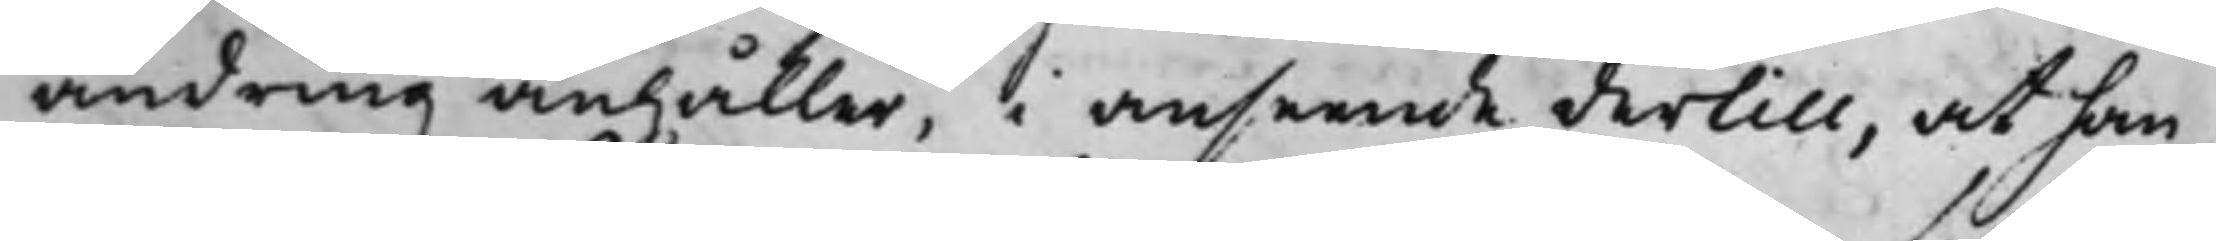ändring anhåller, i anseende dertill, at han
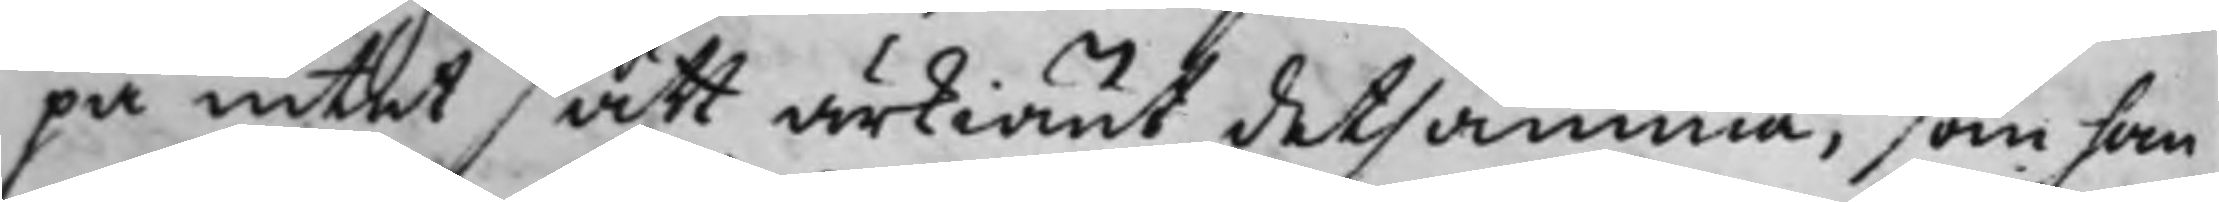på intet sätt ärkiänt detsamma, som han
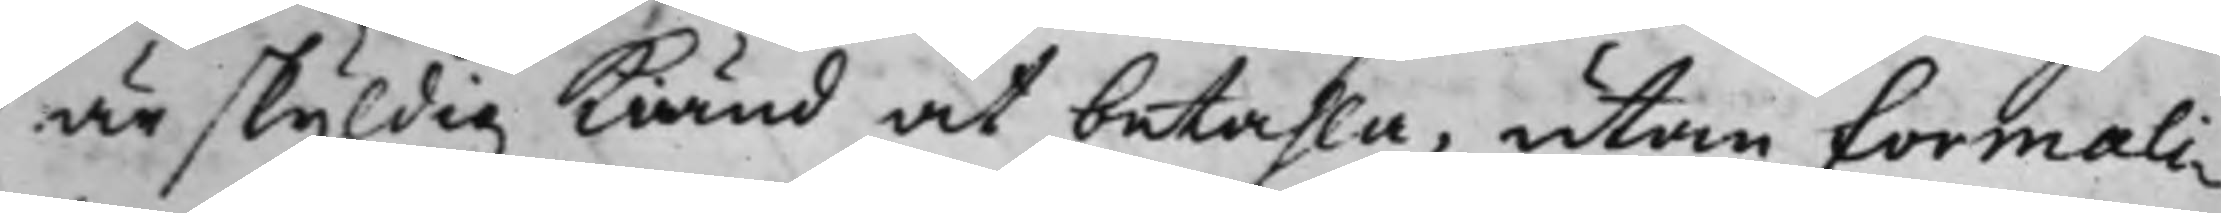är skyldig kiänd at betahla, utan formali¬
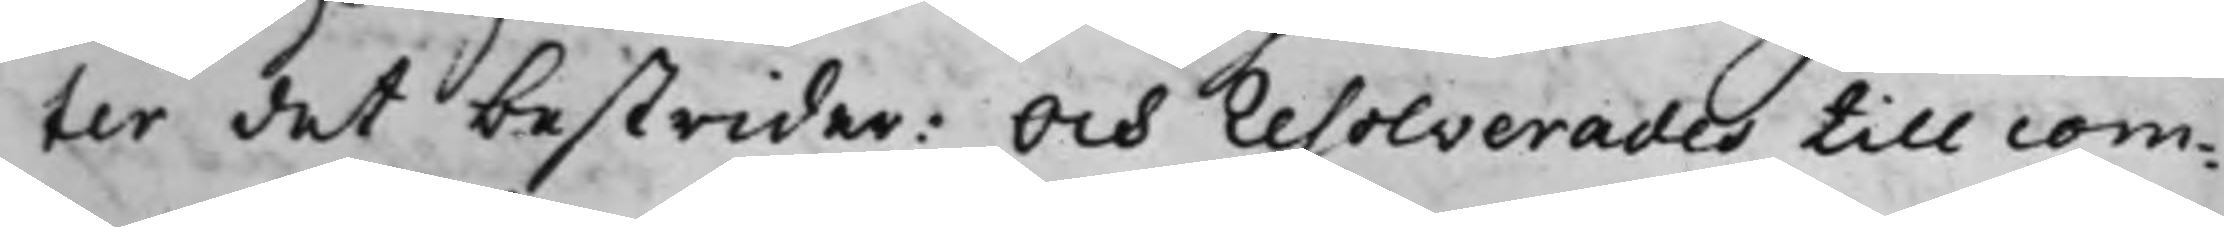ter det bestrider: Och resolverades till com¬
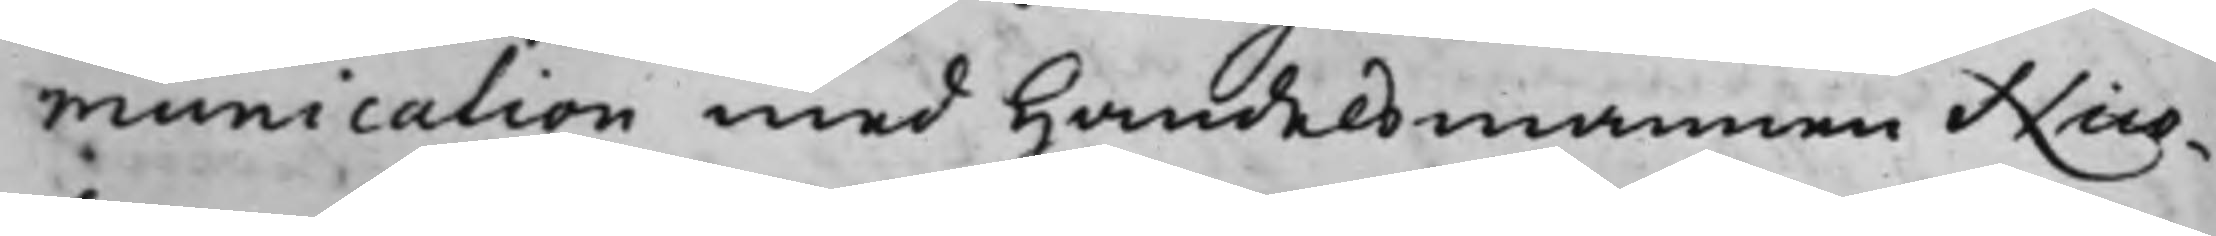munication med Handelsmannen Nico¬
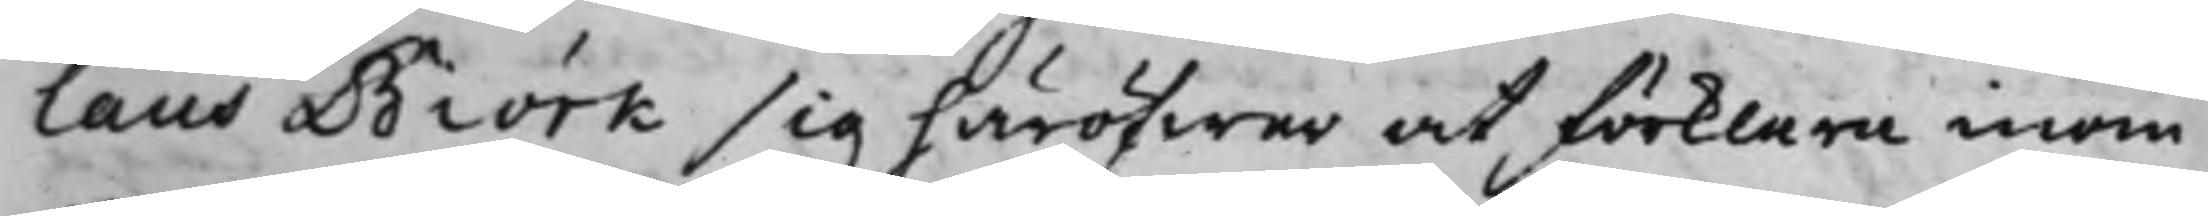laus Biörk sig häröfwer at förklara inom
